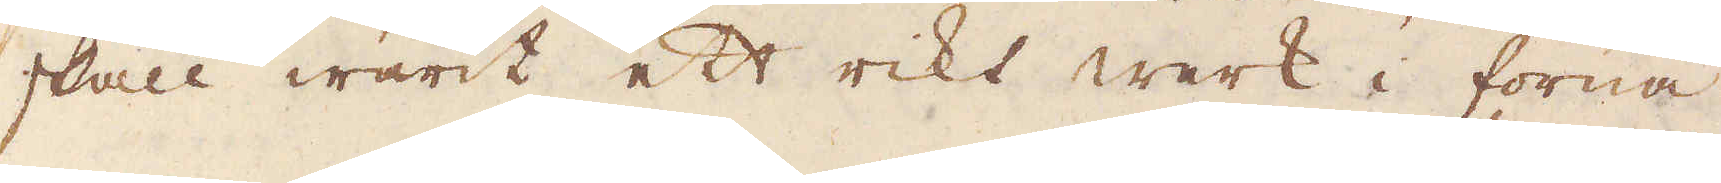skall warit ett rikt werk i forna
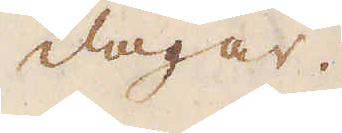dagar.
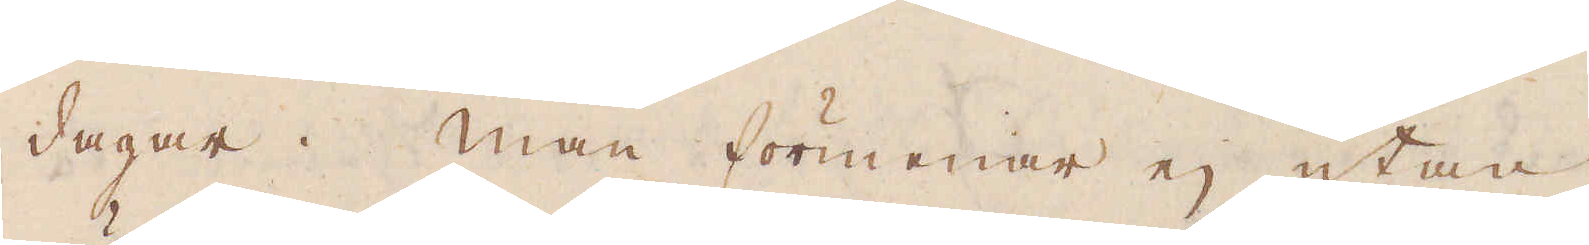dagar. Man förmenar ej utan
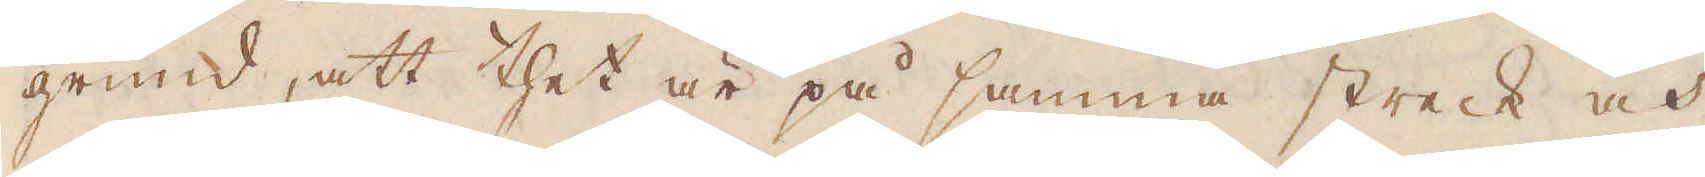grund, att thet är på samma streck och
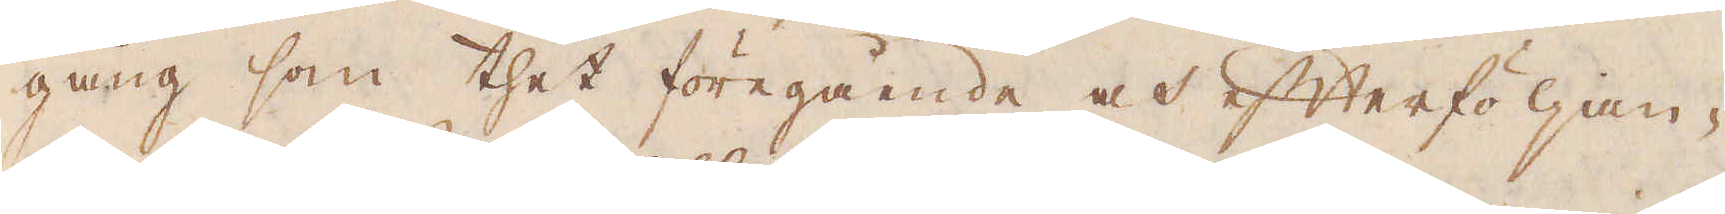gång som thet föregående och efterföljan-
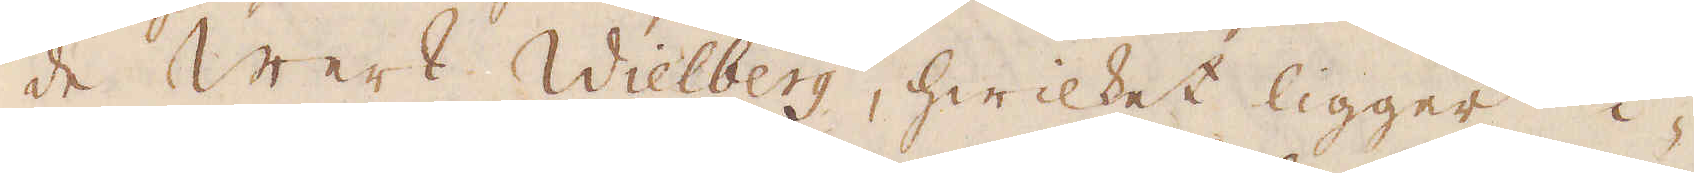de Werk Wielberg, hwilket ligger i-
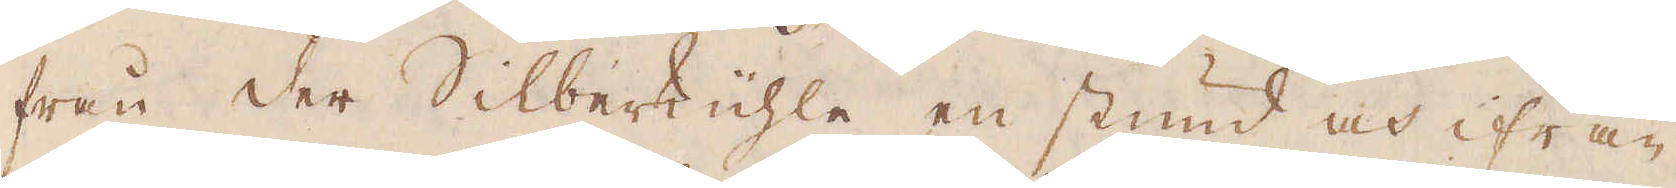från der Silberküchle en stund och ifrån
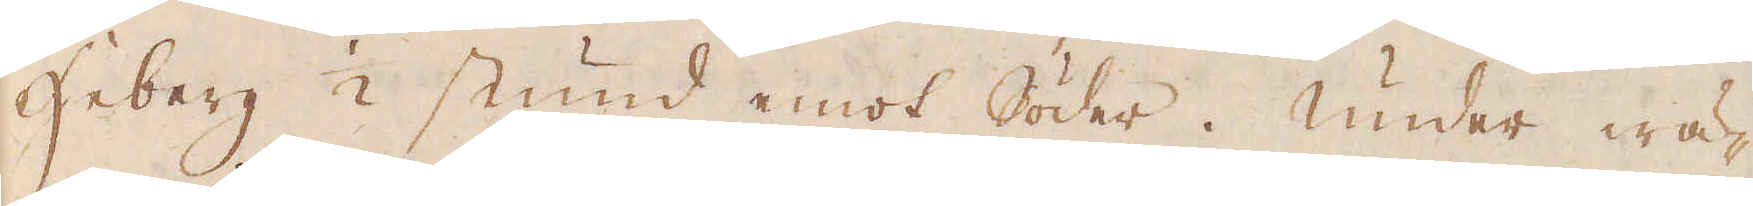Heberg 1/2 stund emot Söder. Under wä-
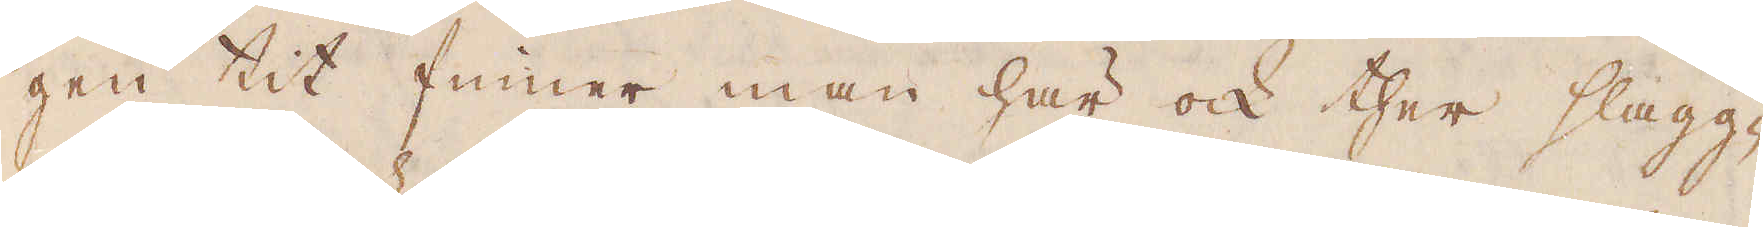gen tit finner man här ock ther slagg-
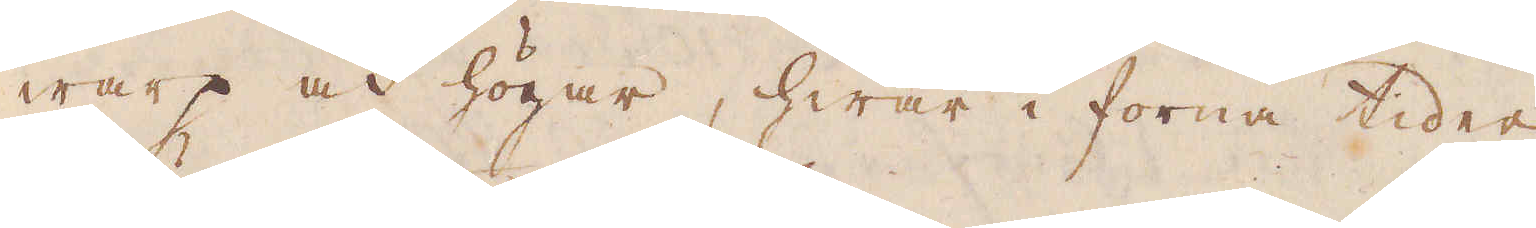warp och högar, hwar i forna tider
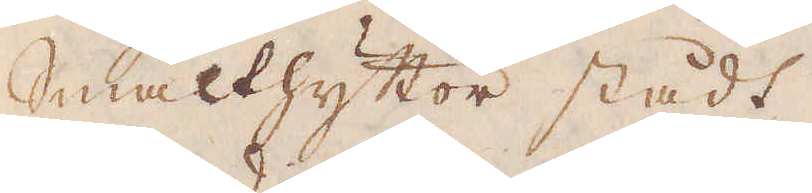Smälthyttor stådt.
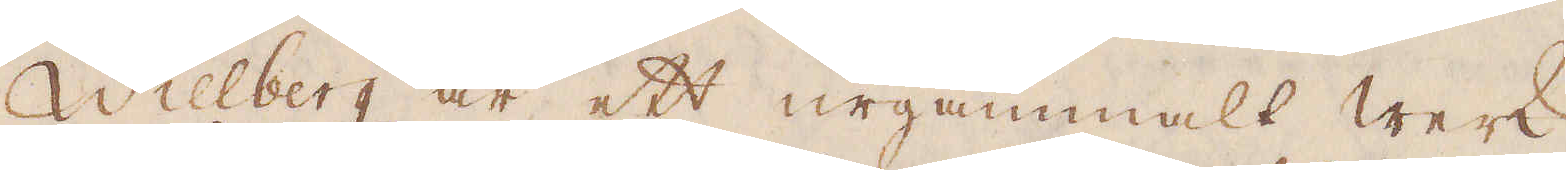Willberg är ett urgammalt werk
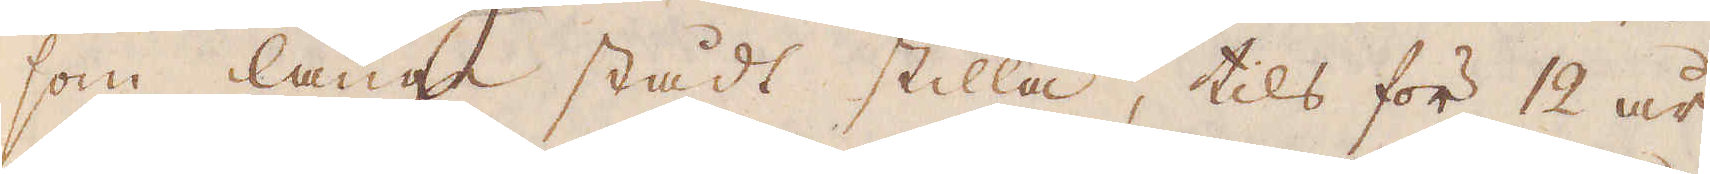som länge stådt stilla, tils för 12 år,
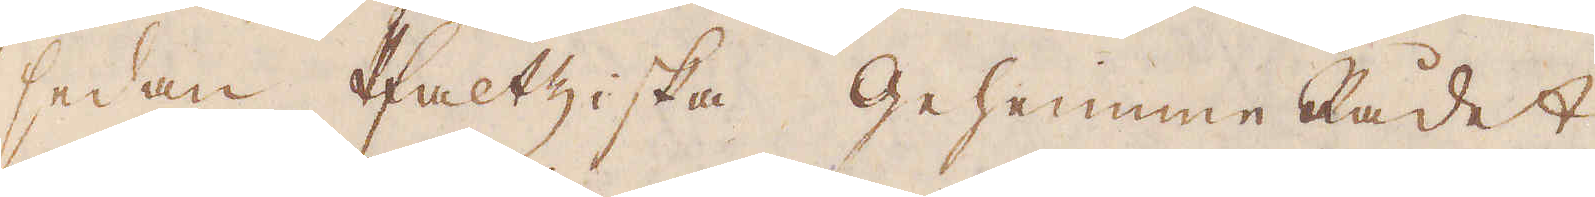sedan Pfaltziska Geheimen Rådet
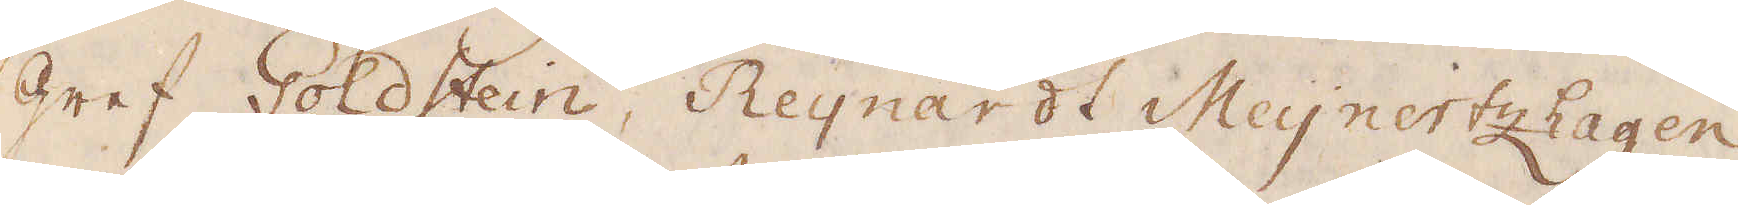gref Goldstein, Reynardt Meynertzhagen
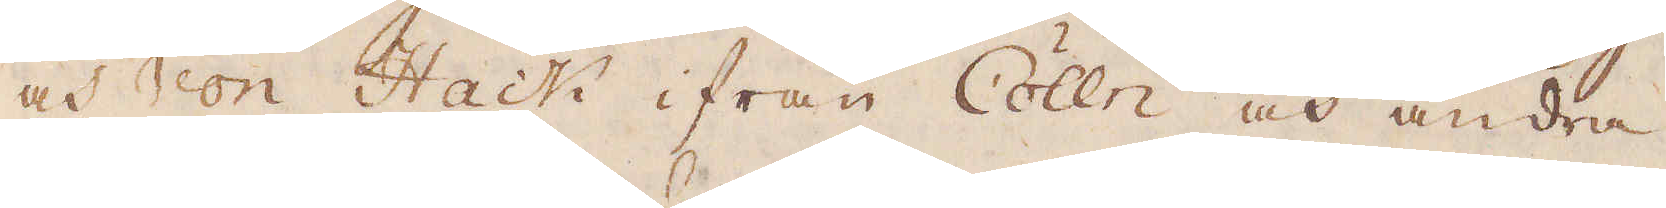och von Hack ifrån Cölln och andra
